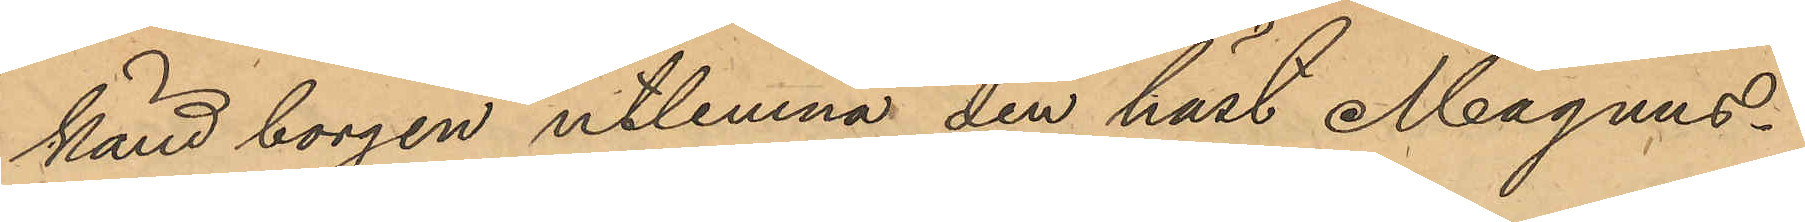känd borgen utlemna den häst Magnus¬
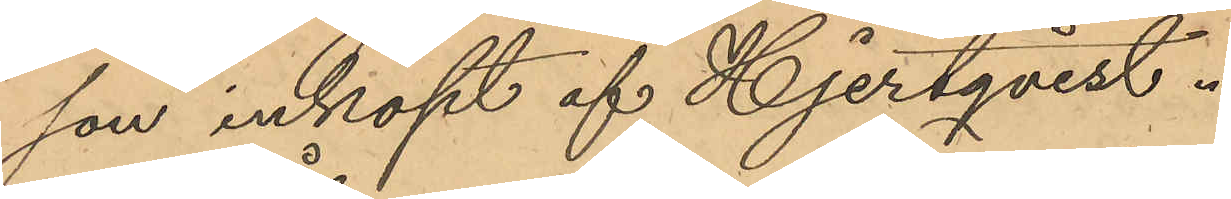son inköpt af Hjertqvist.
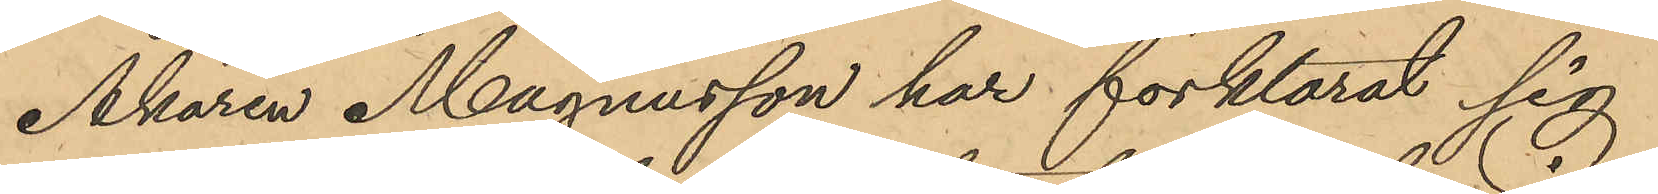Åkaren Magnusson har förklarat sig
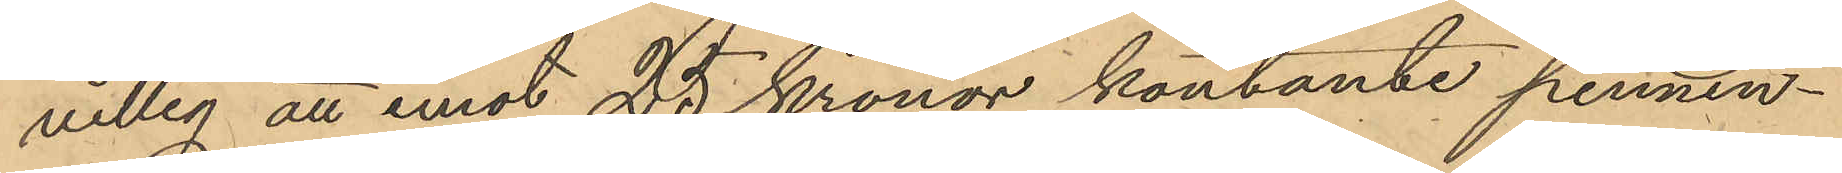villig att emot 25 Kronor kontante pennin¬
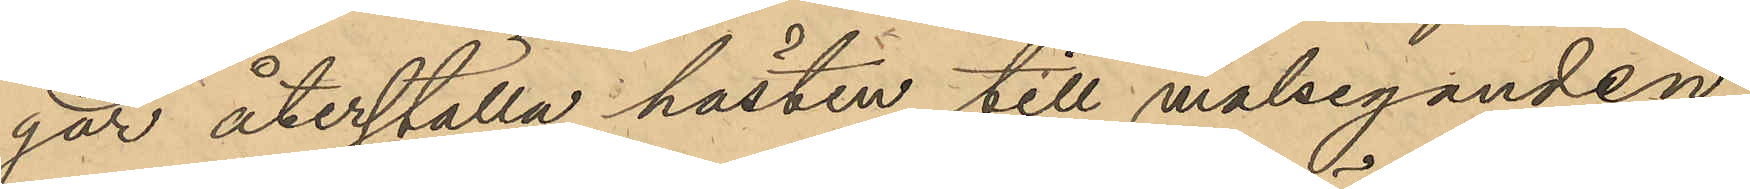gar återställa hästen till målseganden
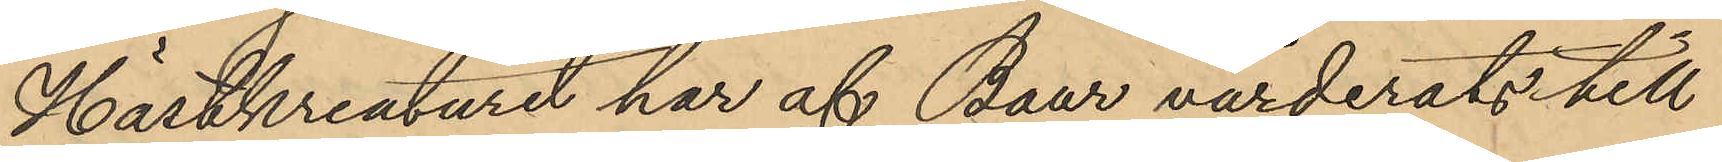Hästkreaturet har af Baur värderats till
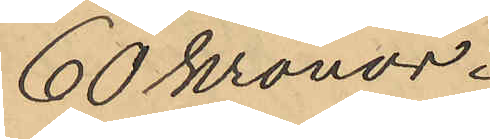60 kronor.
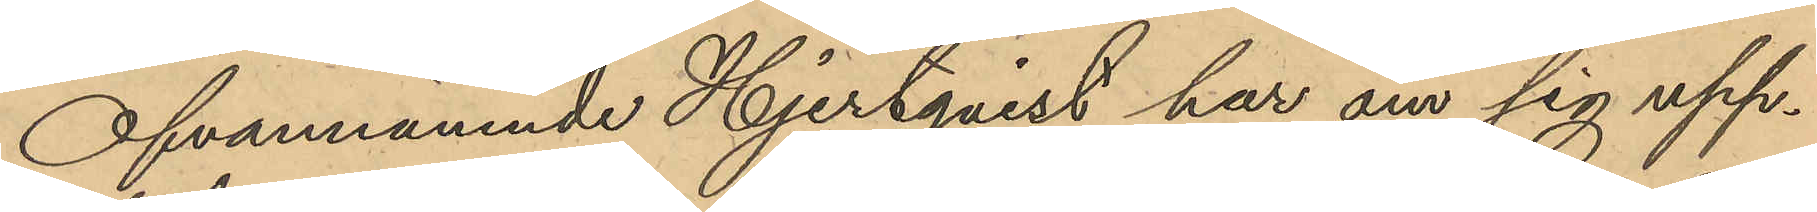Ofvannämnde Hjertqvist har om sig upp¬
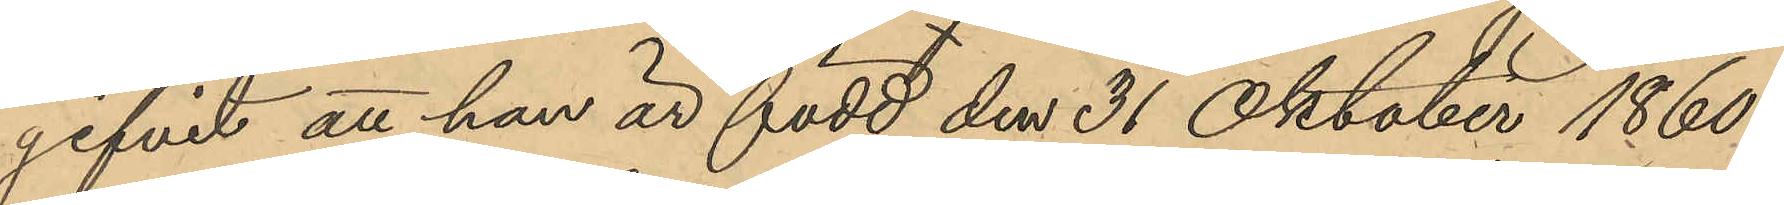gifvit att han är född den 31 Oktober 1860
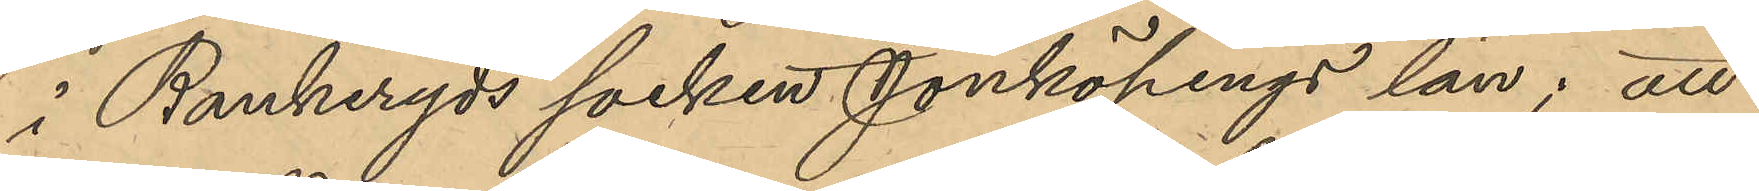i Bankeryds socken Jönköpings län; att
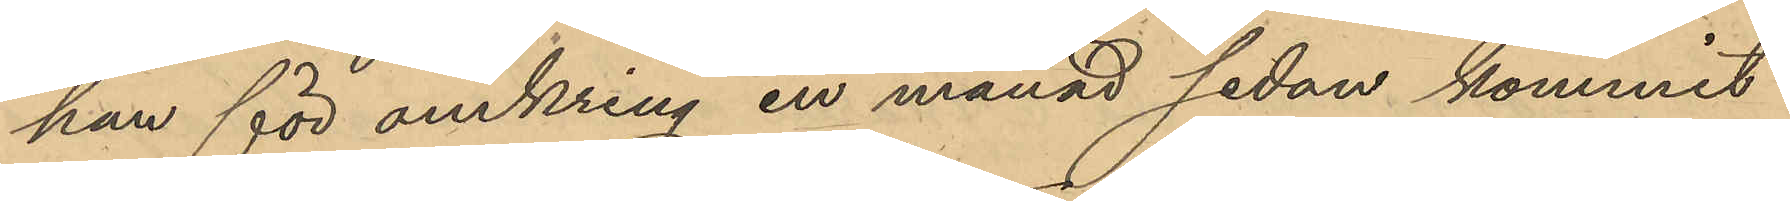han för omkring en månad sedan kommit
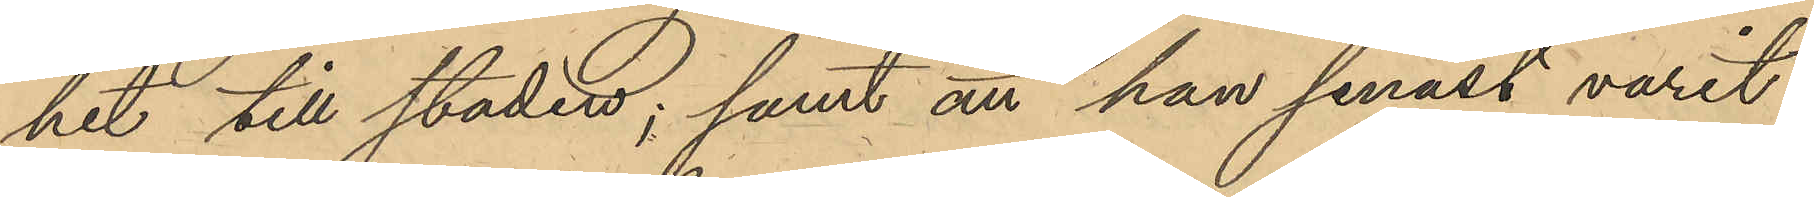hit till staden; samt att han senast varit
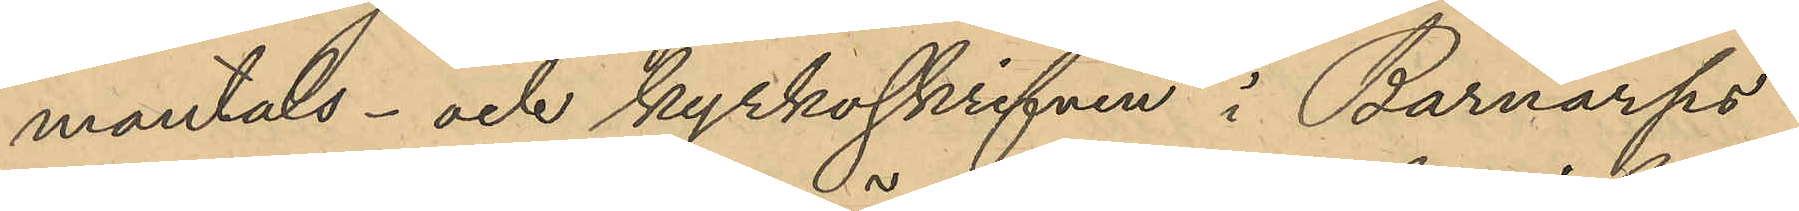mantals- och kyrkoskrifven i Barnarps
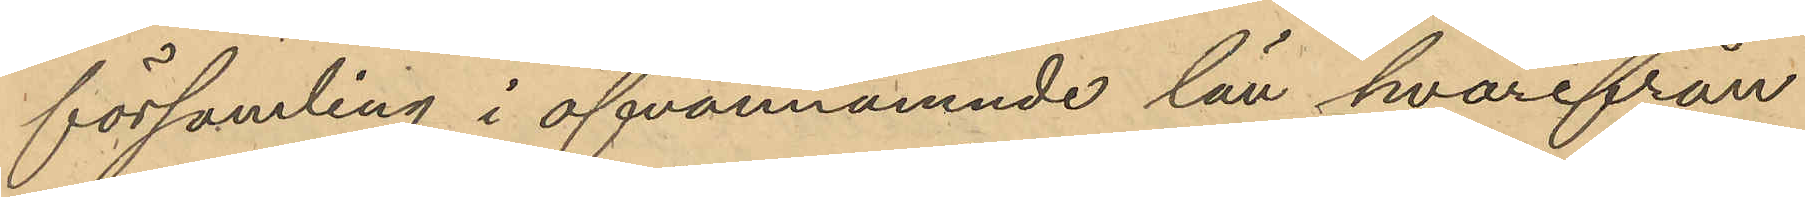församling i ofvannämnde län hvarifrån
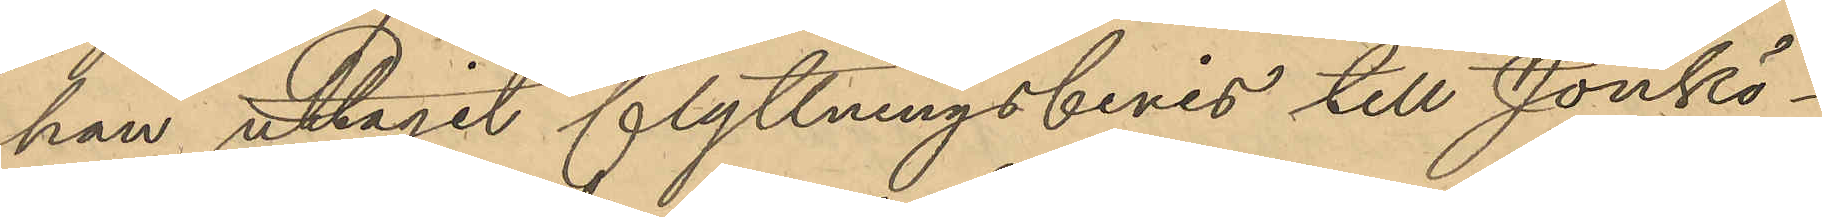han uttagit flyttningsbevis till Jönkö¬
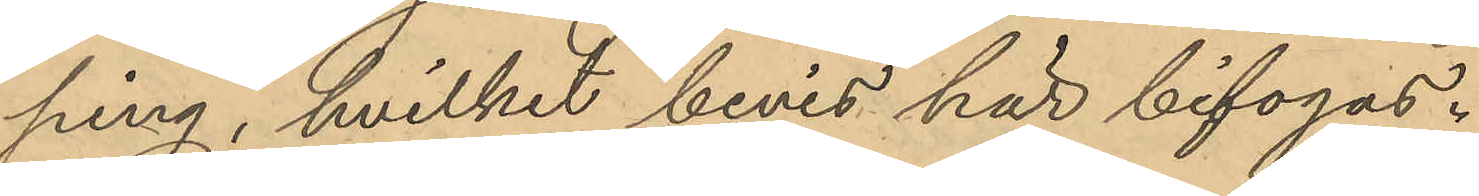ping, hvilket bevis här bifogas.
